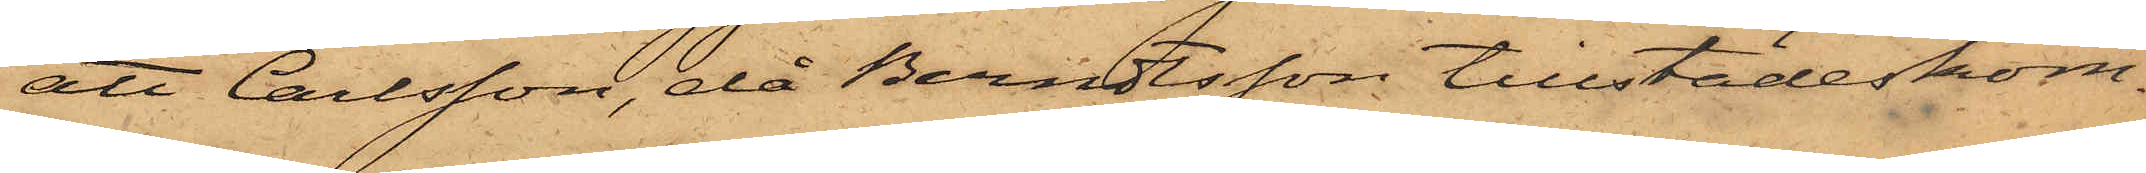att Carlsson, då Berndtsson tillstädeskom¬
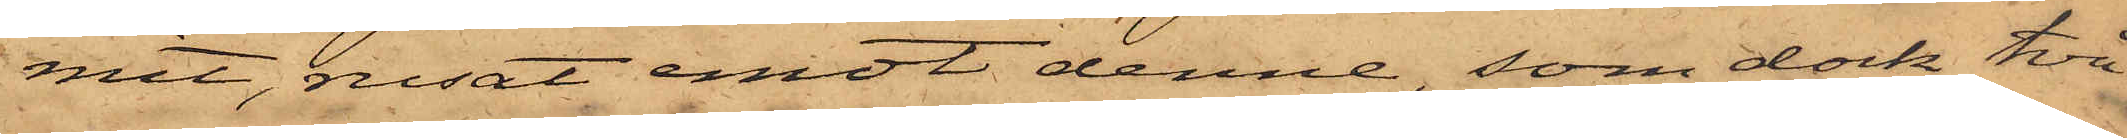mit, rusat emot denne, som dock två
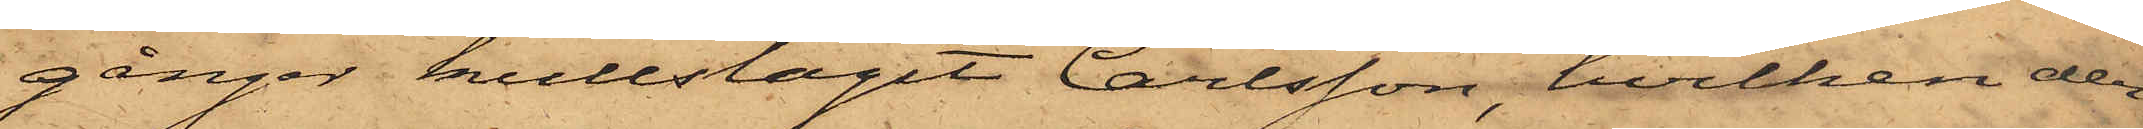gånger kullslagit Carlsson, hvilken der¬
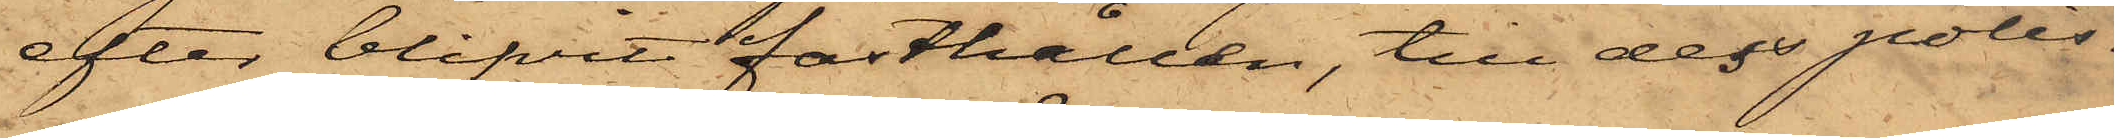efter blifvit fasthållen, till dess polis¬
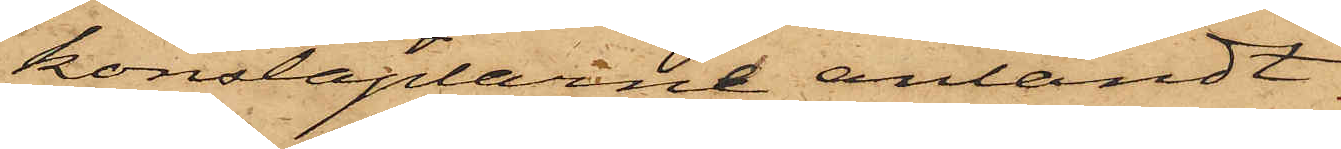konstaplarne anländt.
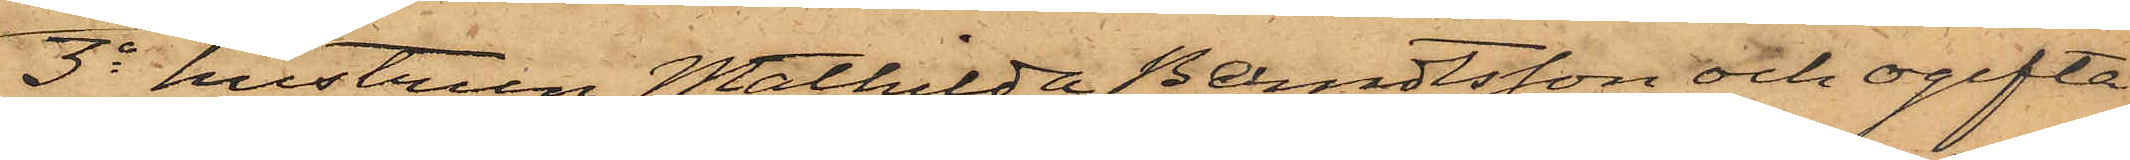3o hustrun Mathilda Berndtsson och ogifta
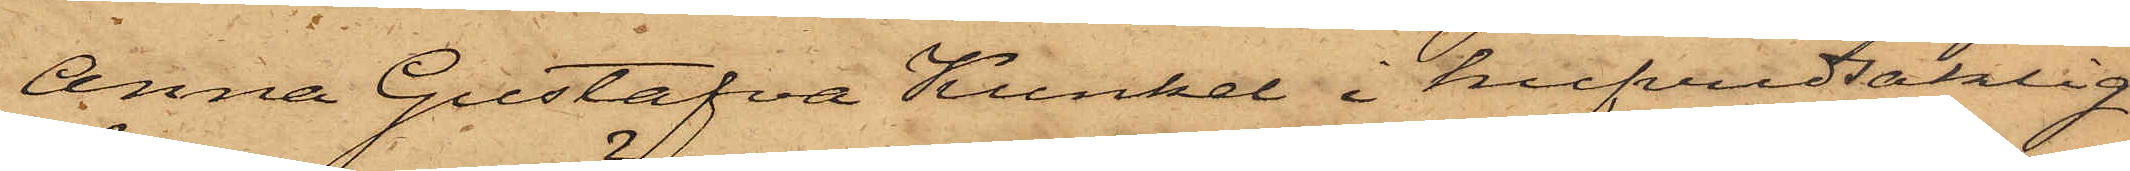Anna Gustafva Kunkel i hufvudsaklig
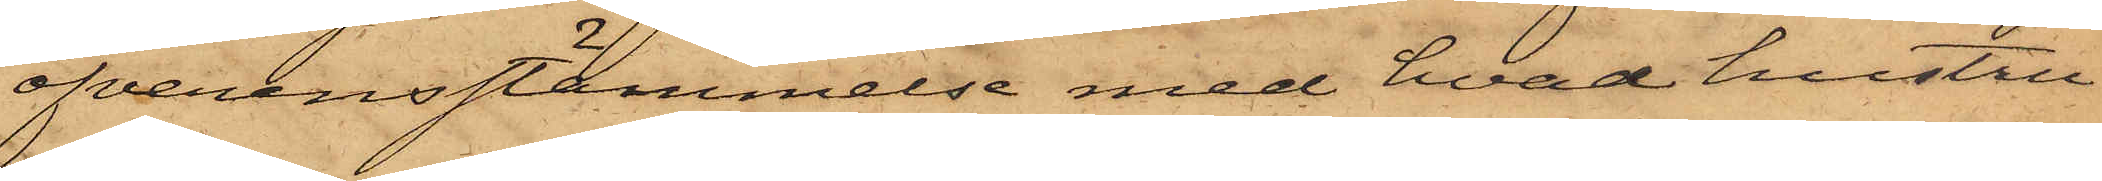öfverensstämmelse med hvad hustru
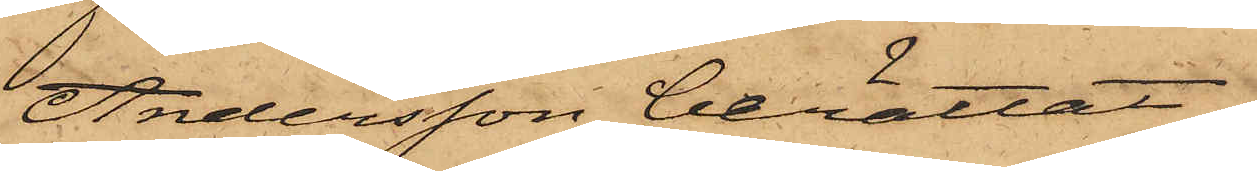Andersson berättat.
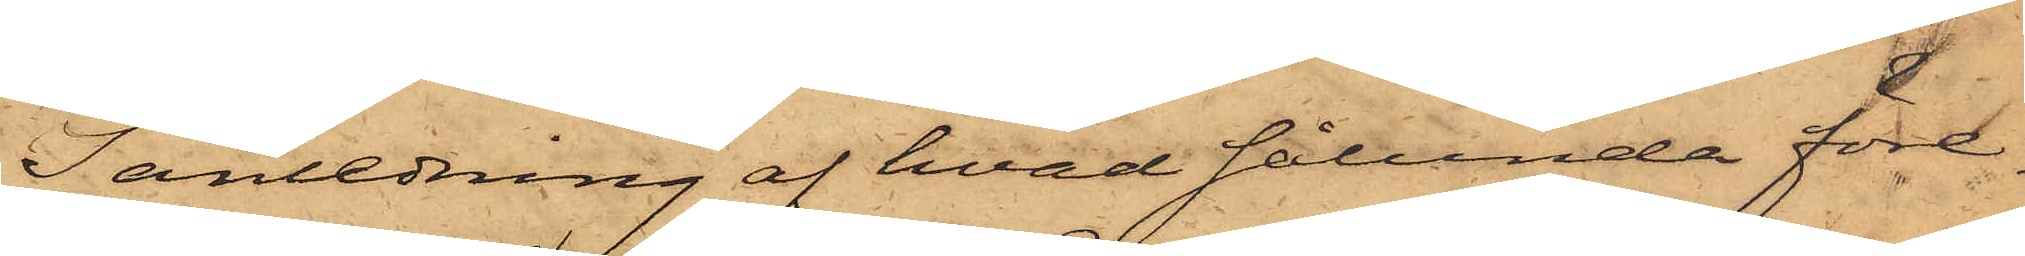I anledning af hvad sålunda före¬
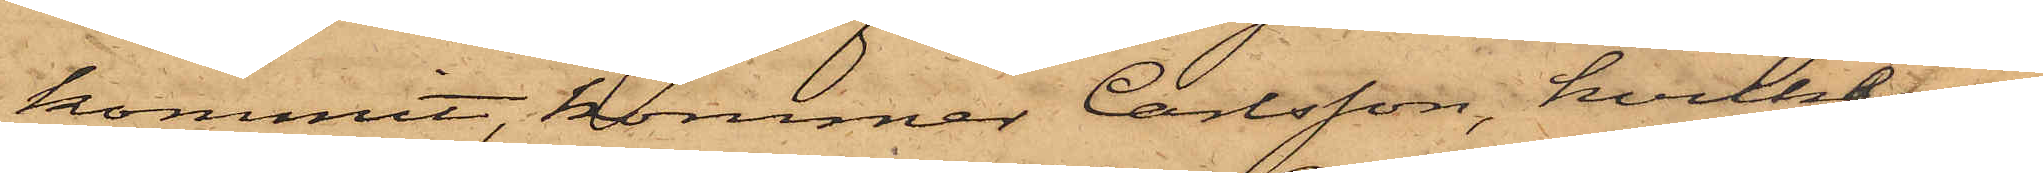kommit, kommer Carlsson, hvilken
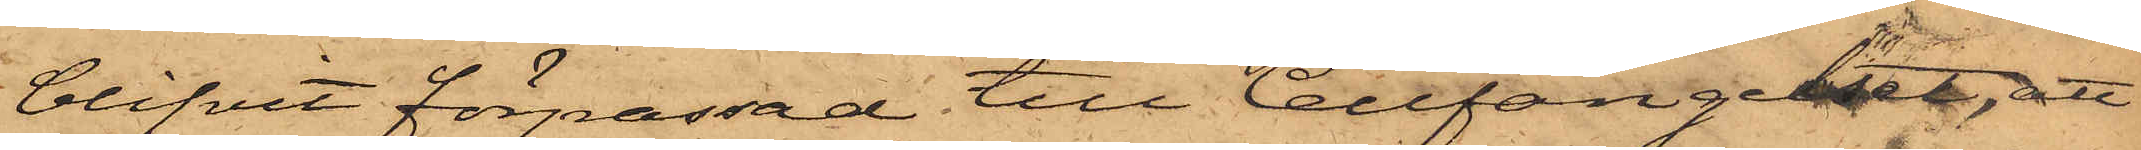blifvit förpassad till Cellfängelset, att
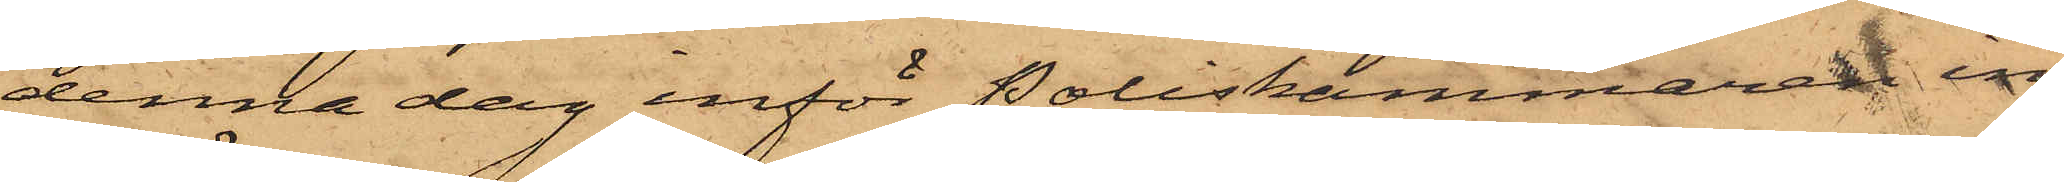denna dag inför Poliskammaren in¬
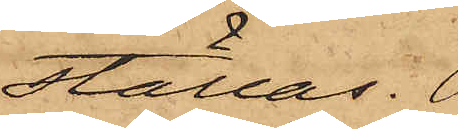ställas.
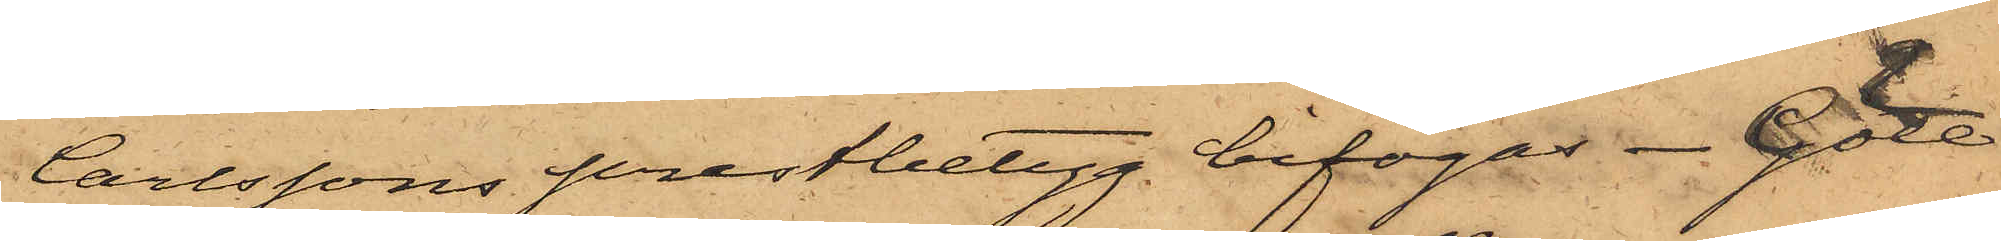Carlssons prestbetyg bifogas. Göte¬
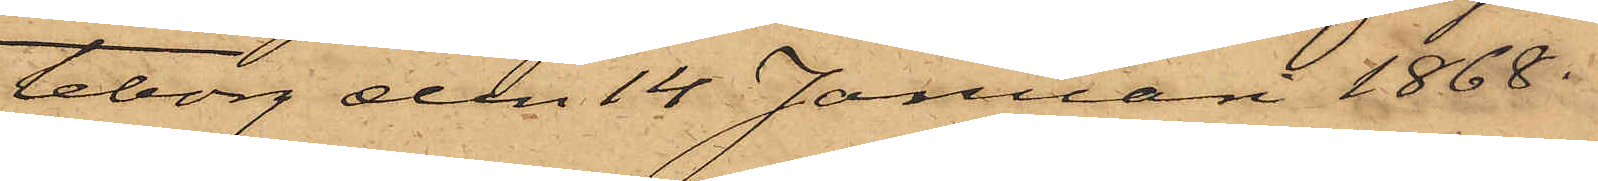teborg den 14 Januari 1868.
